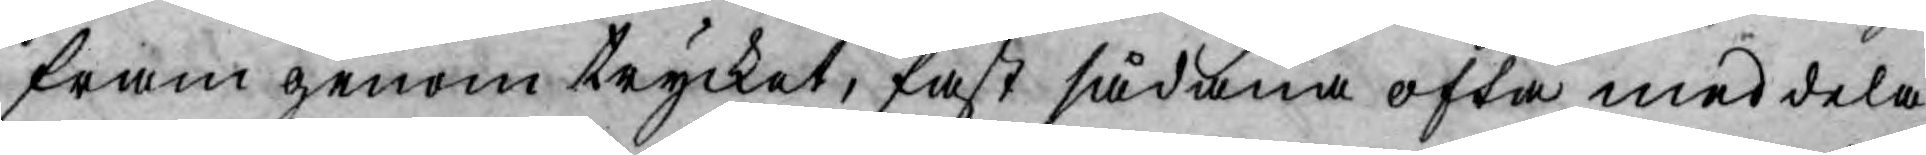fram genom trycket, fast sådana ofta meddela
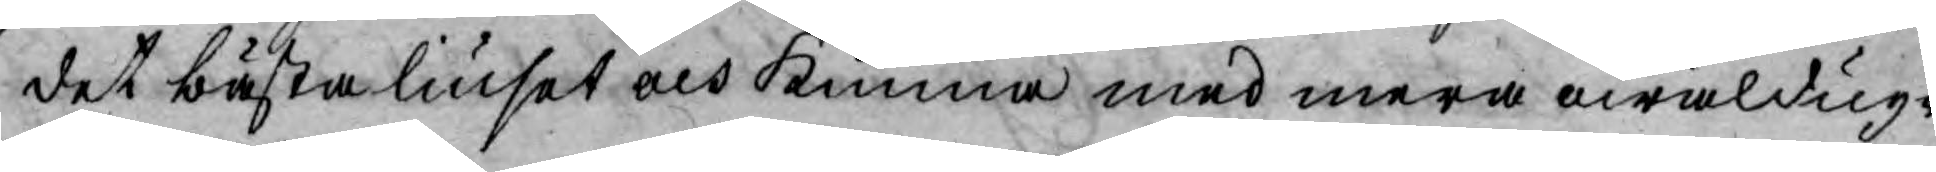det bästa liuset och kunna med mera owäldug¬
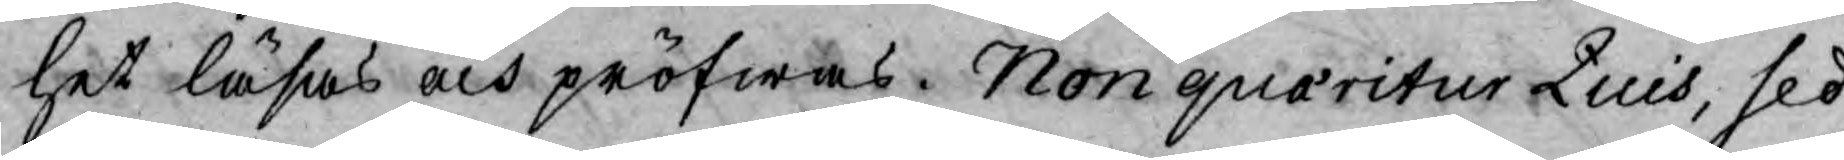het läsas och pröfwas. Non quaritur Quis, sed
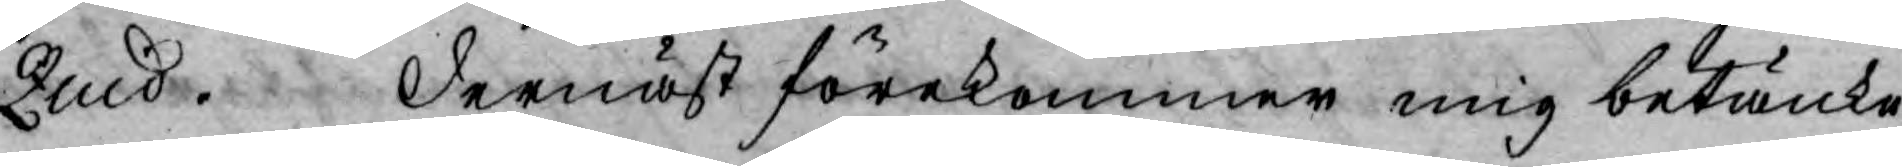Quid. Dernäst förekommer mig betänke¬
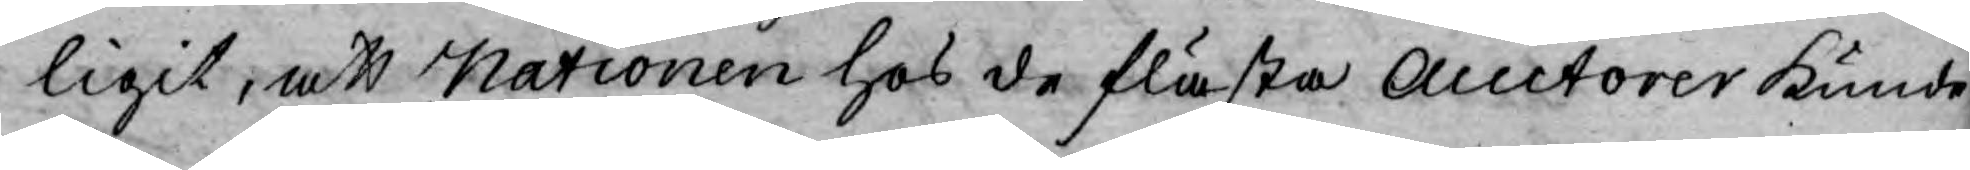ligit, att Nationen hos de flästa Auctorer kunde
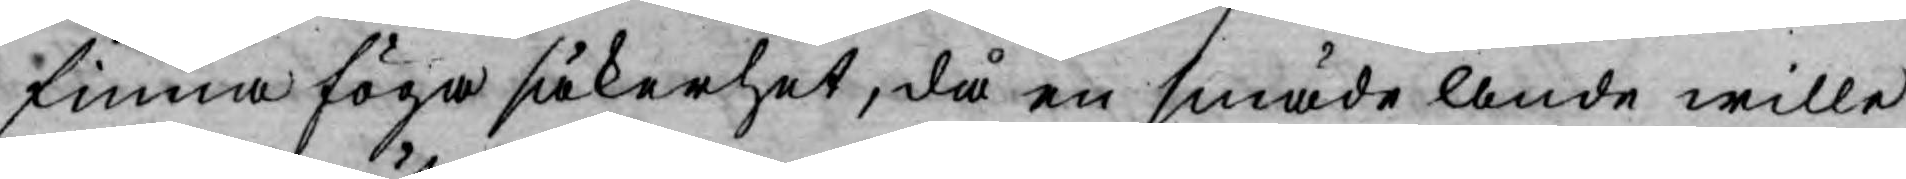finna föga säkerhet, då en smäde Ande wille
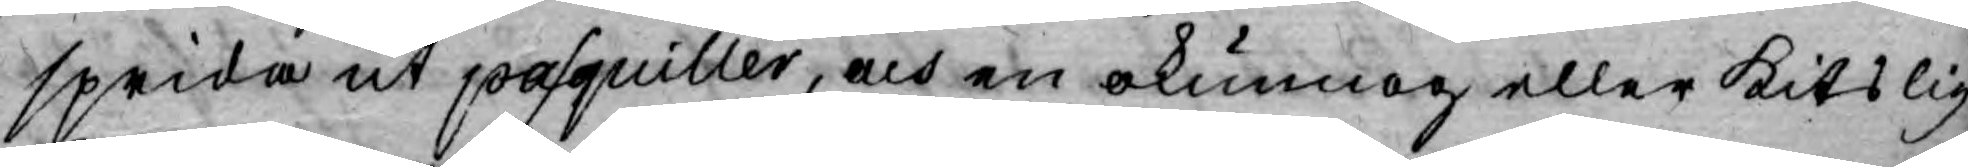sprida ut pasquiller, och en okunnog eller kitslig
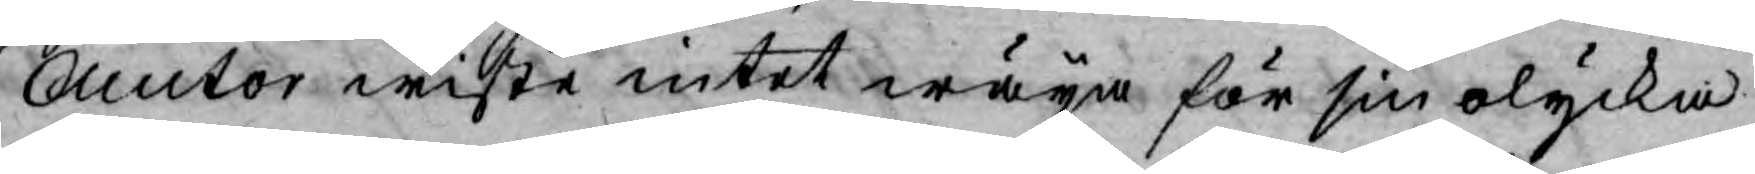Auctor wiste intet wäya för sin olycka.
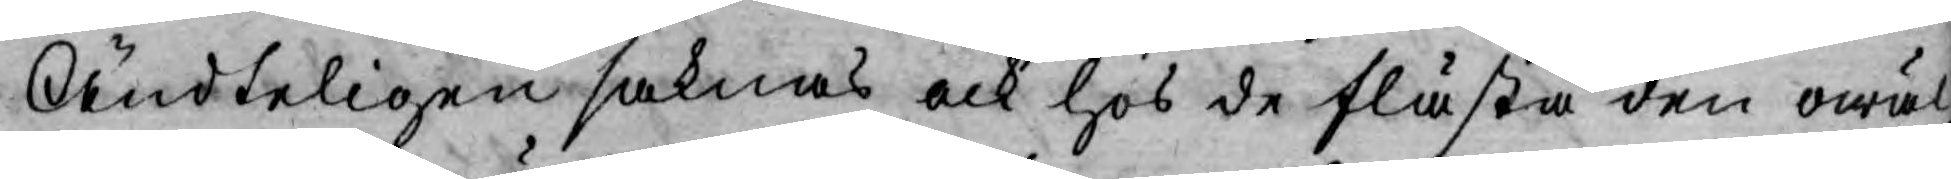Ändteligen saknas ock hos de flästa den owäl¬
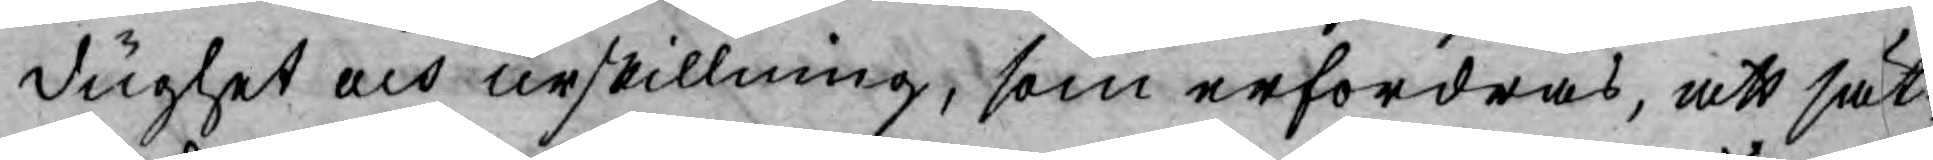dughet och urskillning, som erfordras, att sät¬
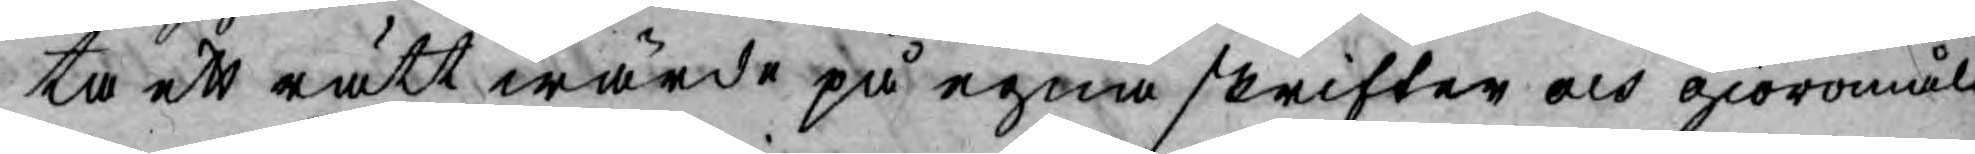ta ett rätt wärde på egna skrifter och giöromål.
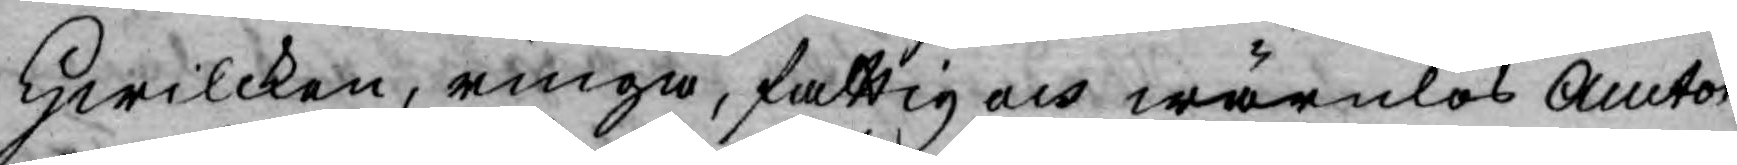Hwilcken, ringa, fattig och wärnlös Auctor
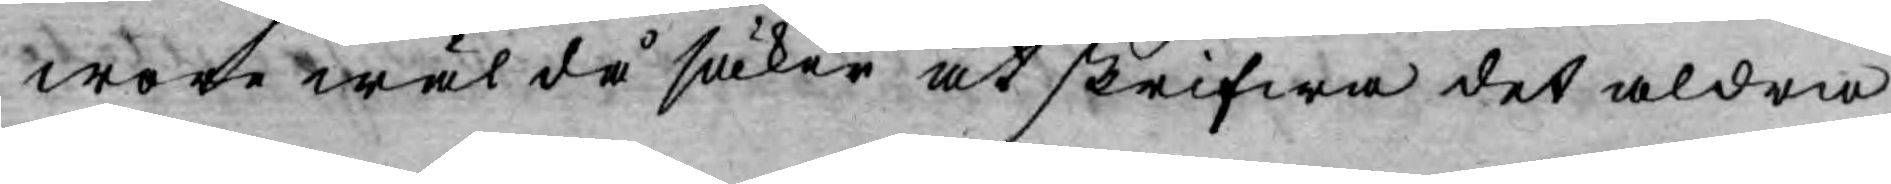wore wäl då säker at skrifwa det aldra¬
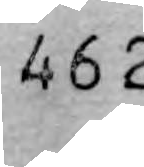462
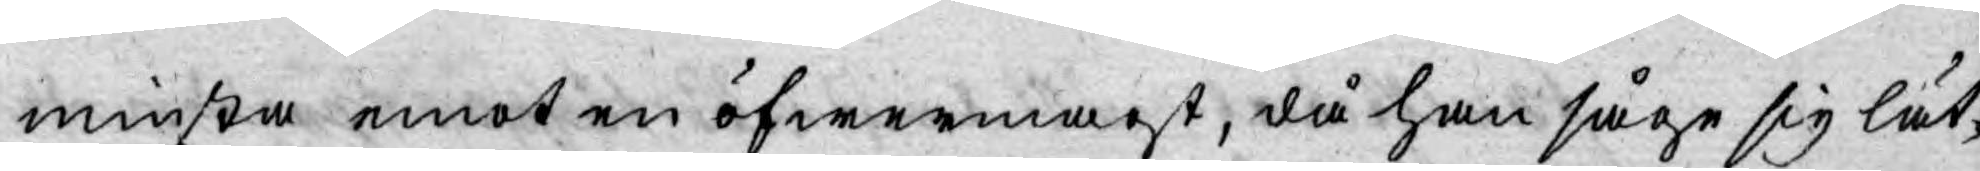minsta emot en öfwermagt, då han såge sig lät¬
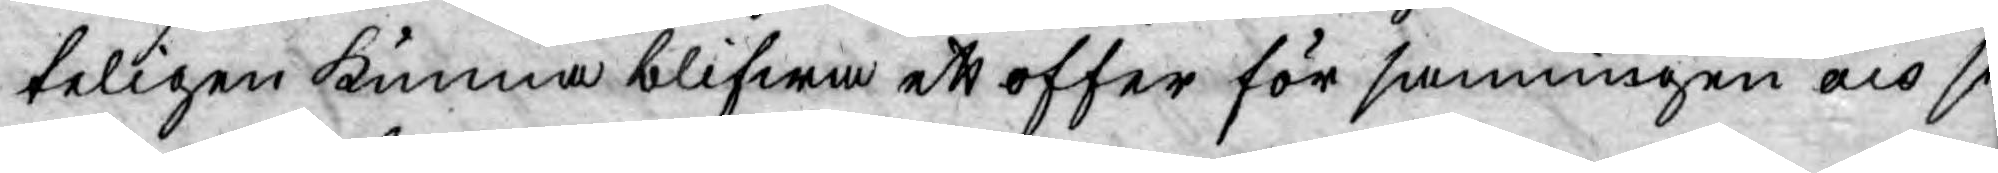teligen kunna blifwa ett offer för sanningen och si¬
